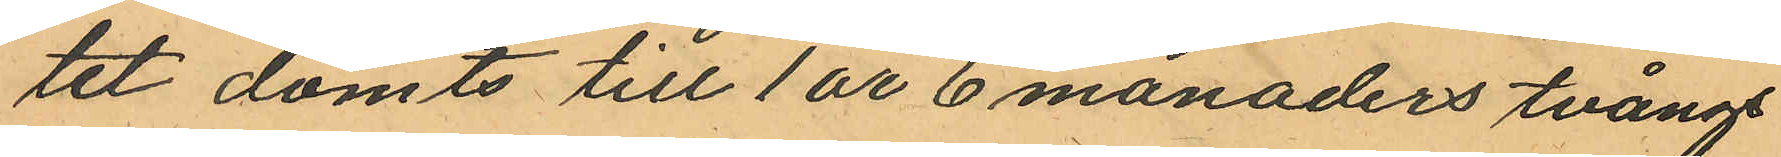tet dömts till 1 år 6 månaders tvångs
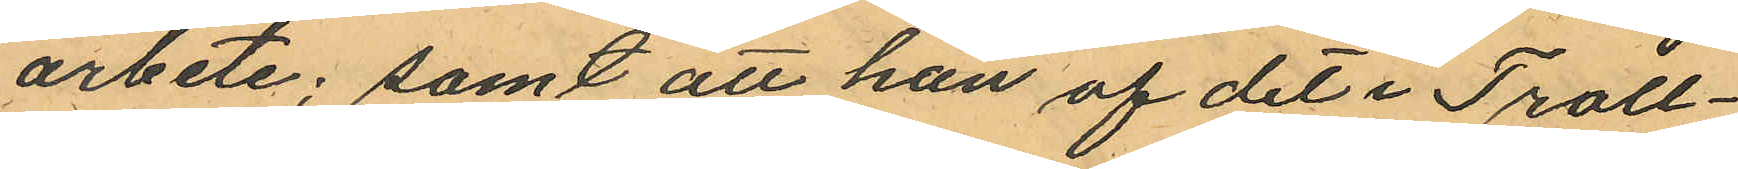arbete; samt att han af det i Troll¬
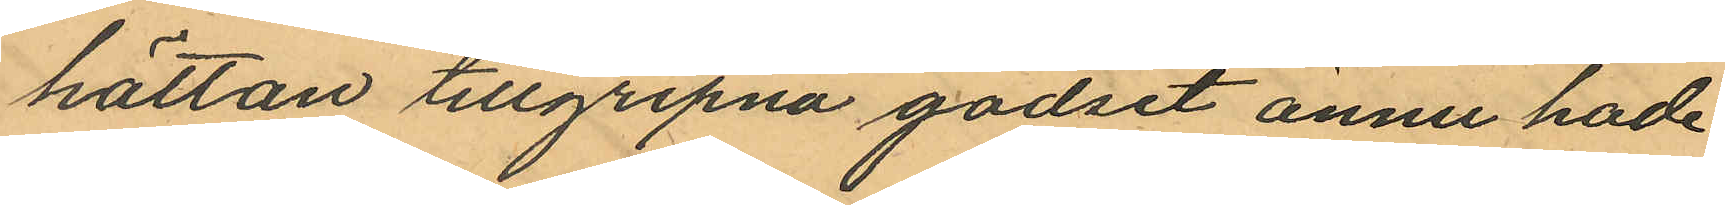hättan tillgripna godset ännu hade
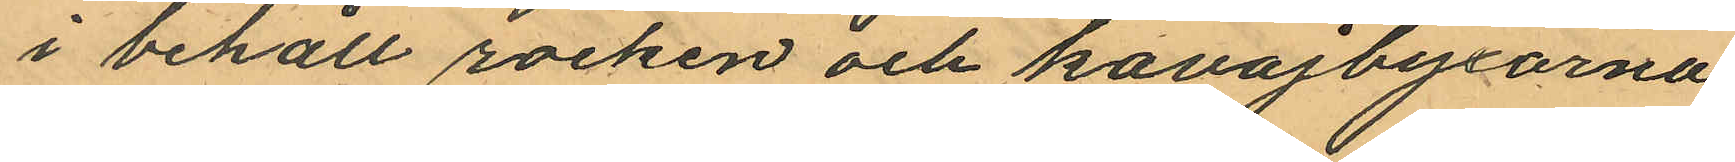i behåll rocken och kavajbyxorna
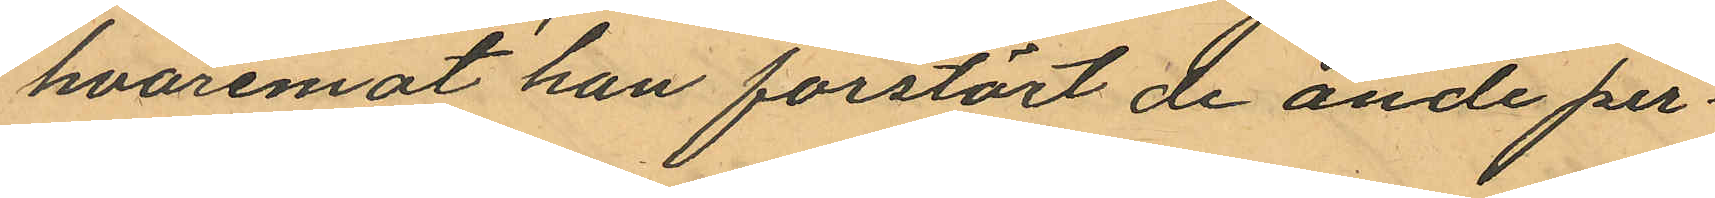hvaremot han förstört de ande per¬
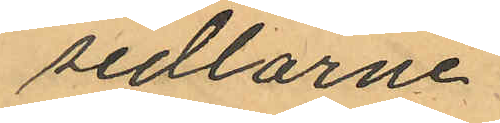sedlarne.
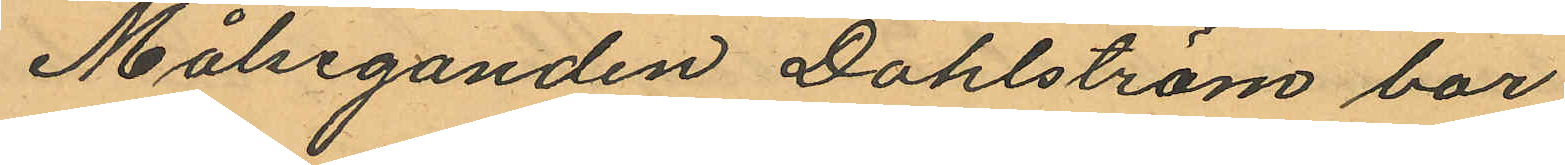Målseganden Dahlström bor
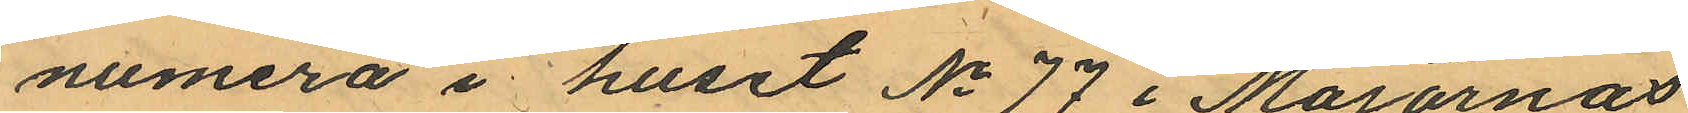numera i huset No 77 i Majornas
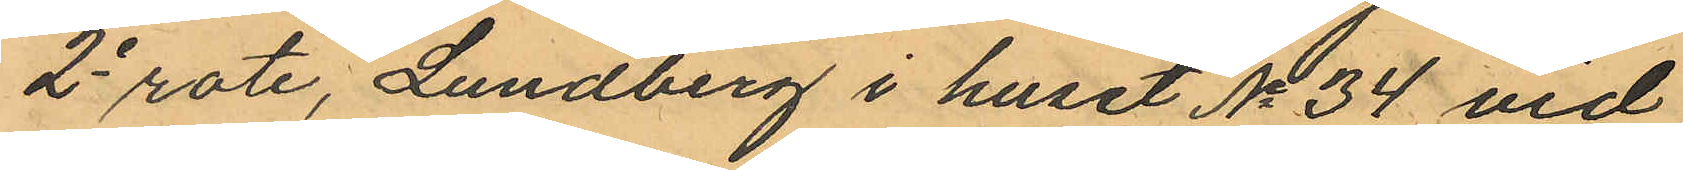2e rote, Lundberg i huset No 34 vid
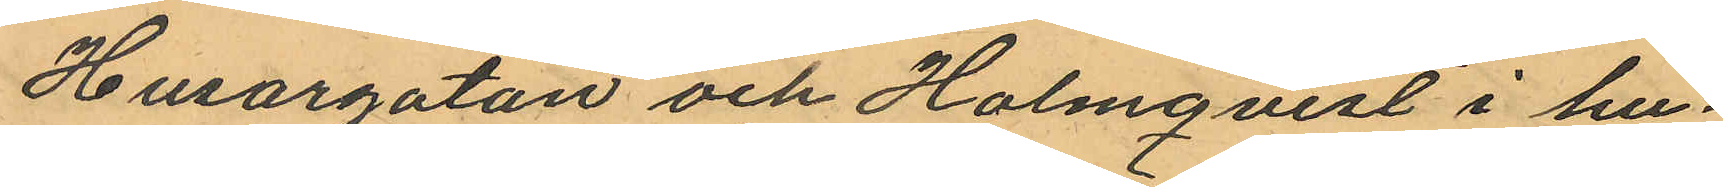Husargatan och Holmqvist i hu¬
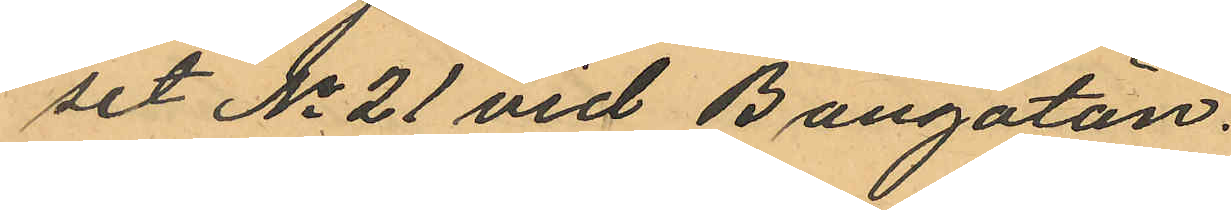set No 21 vid Bangatan.
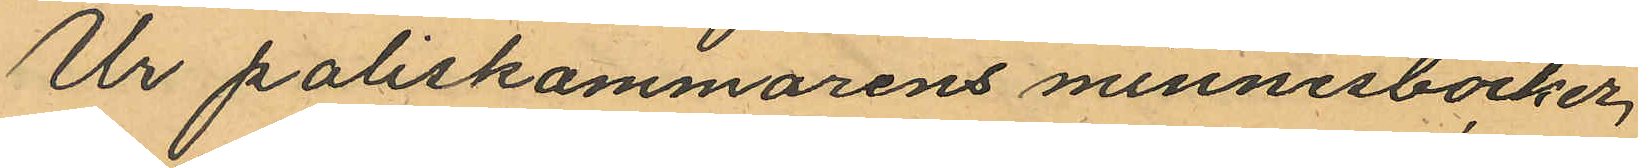Ur poliskammarens minnesböcker,
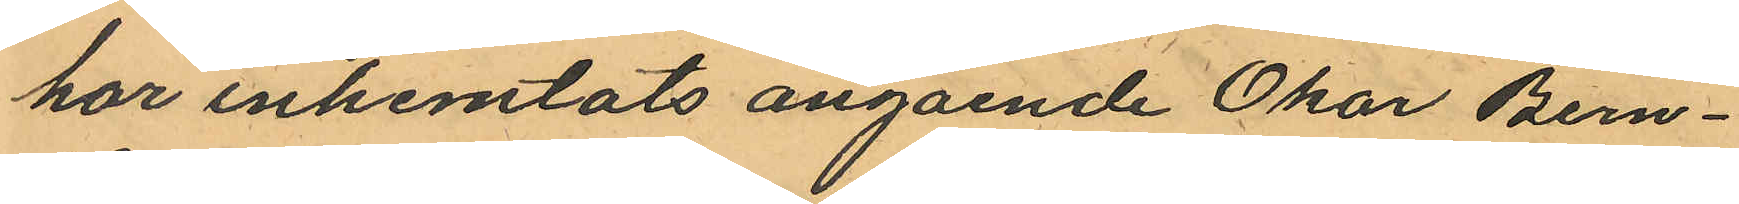har inhemtats angående Okar Bern¬
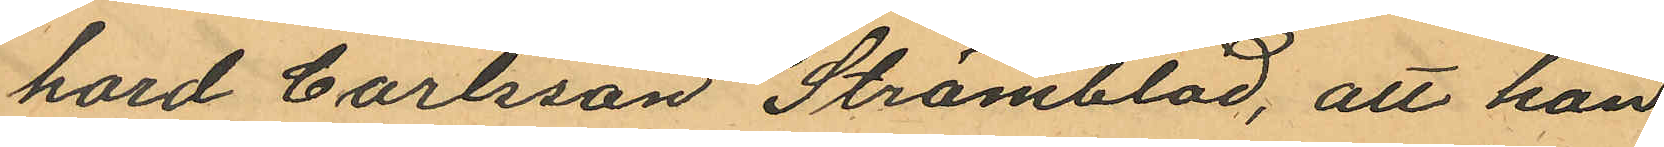hard Carlsson Strömblad, att han
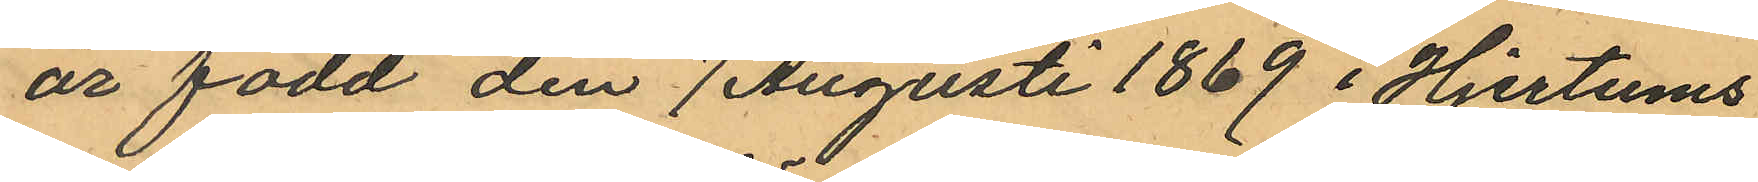är född den 7 Augusti 1869 i Hjertums
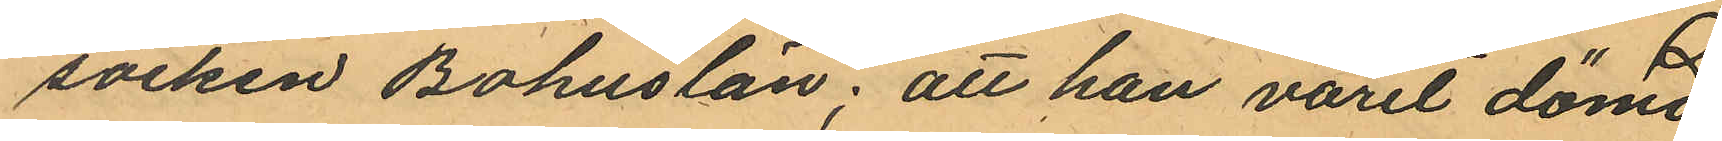socken Bohuslän; att han varit dömd
